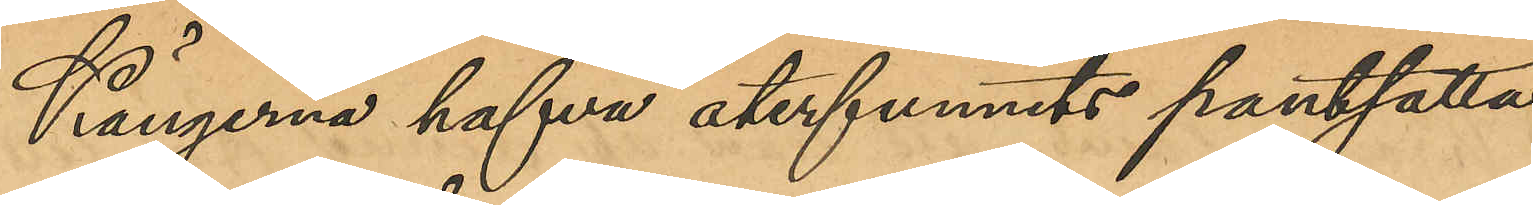Kängerna hafva återfunnits pantsatta
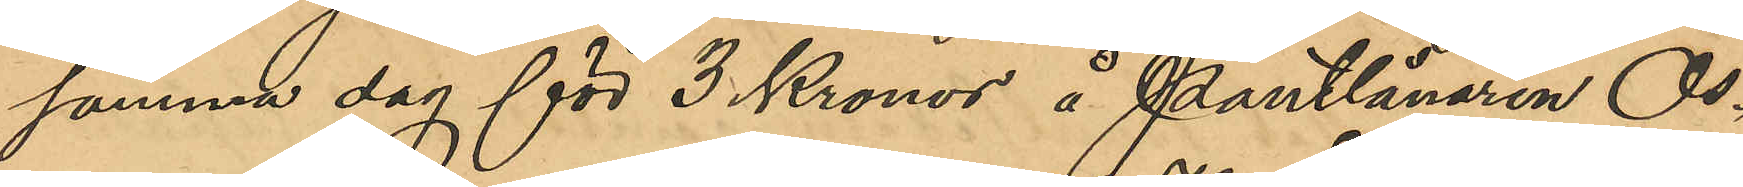samma dag för 3 Kronor å Pantlånaren Os¬
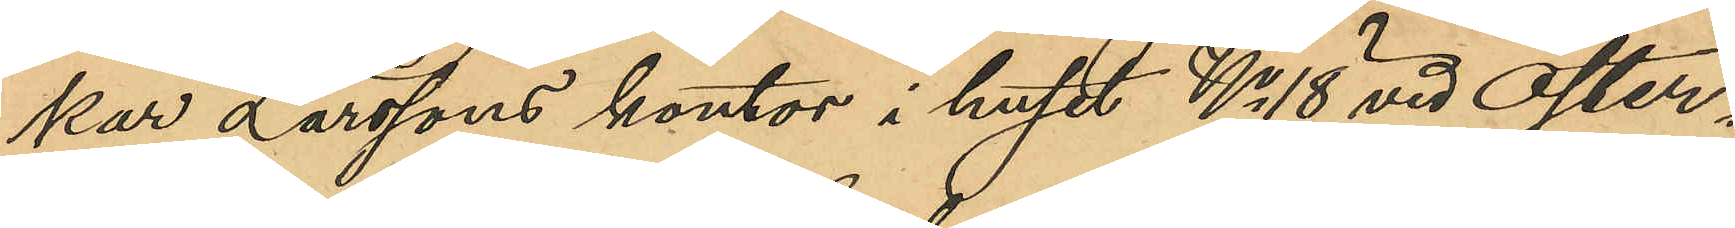kar Larssons kontor i huset No 18 vid Öster¬
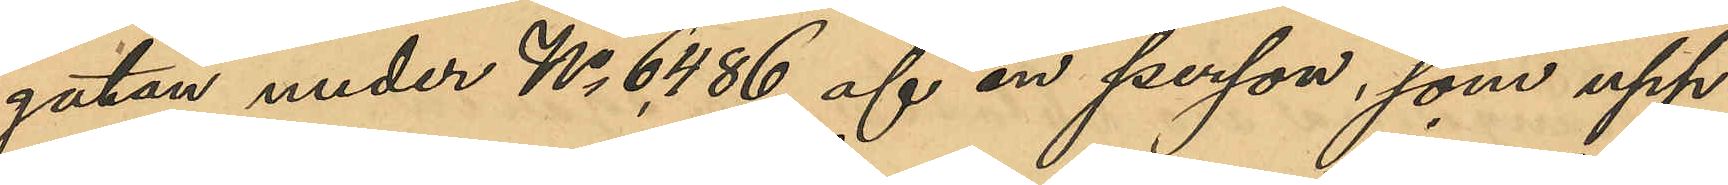gatan under No 6,486 af en person, som upp¬
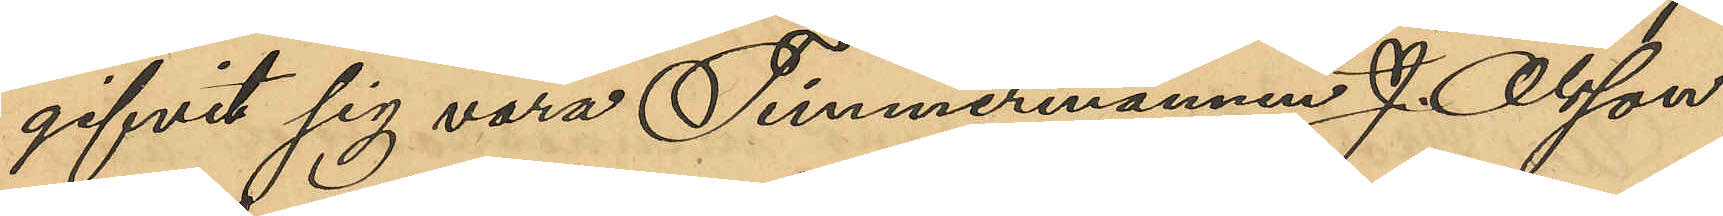gifvit sig vara Timmermannen J. Olsson,
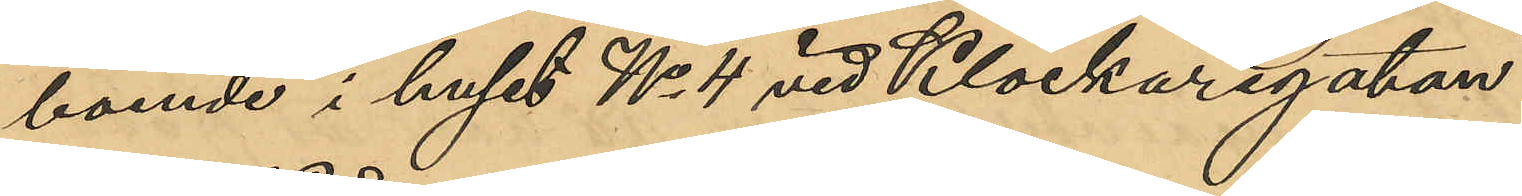boende i huset No 4 vid Klockaregatan
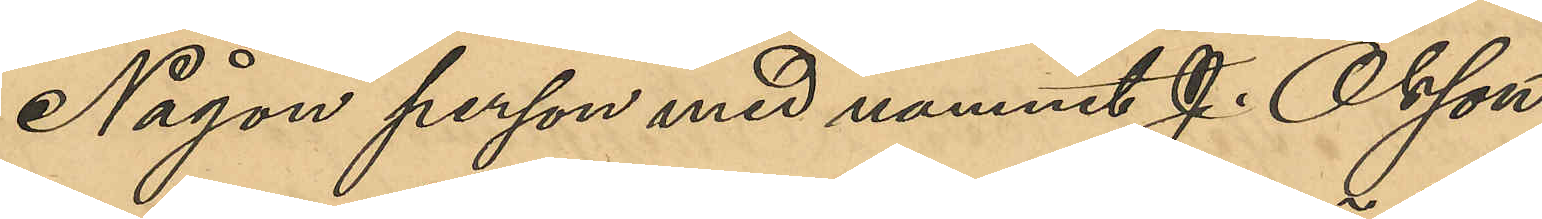Någon person med namnet J. Olsson
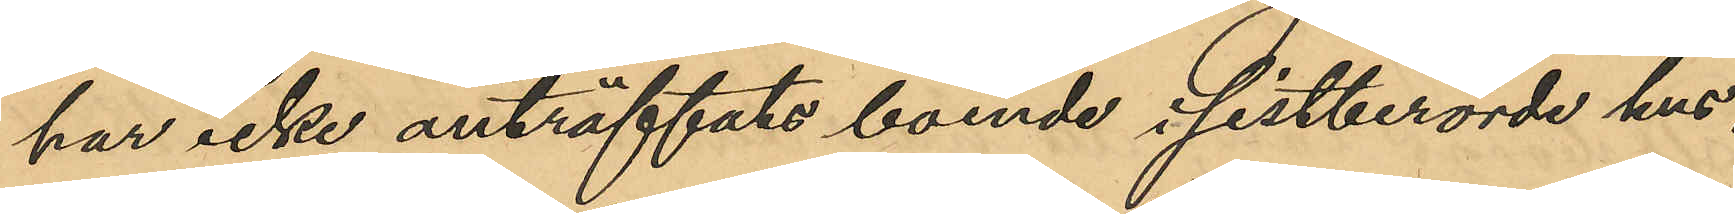har icke anträffats boende i sistberörde hus.
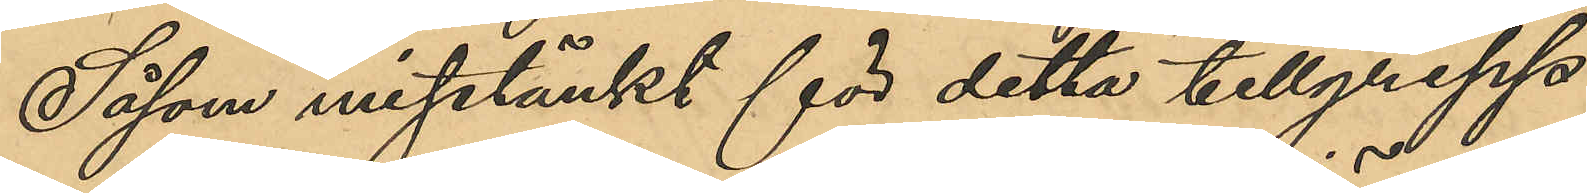Såsom misstänkt för detta tillgrepp
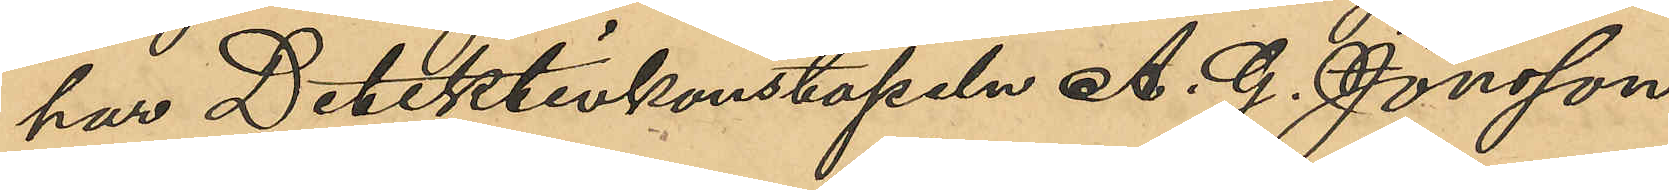har Detektivkonstapeln A. G. Jönsson
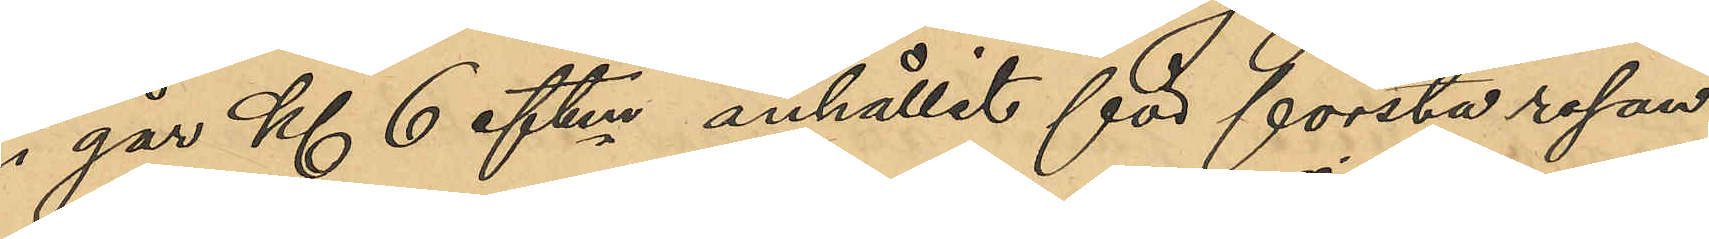i går Kl 6 eftm anhållit för första resan
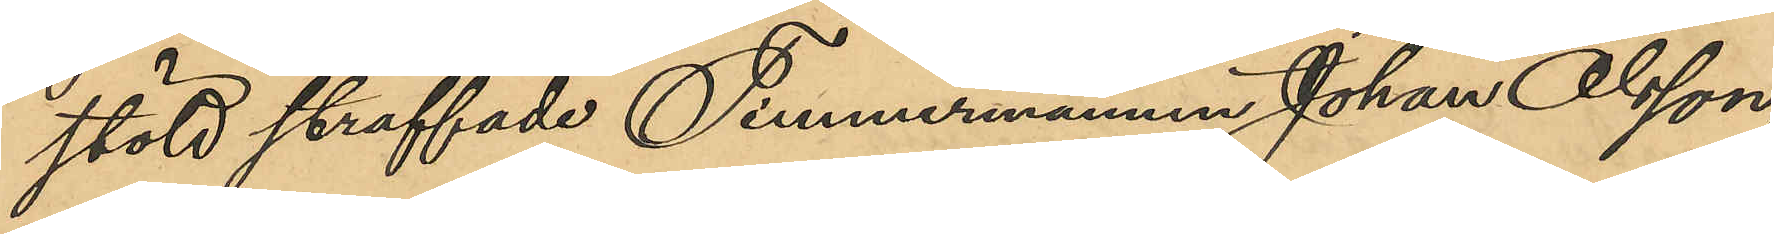stöld straffade Timmermannen Johan Olsson,
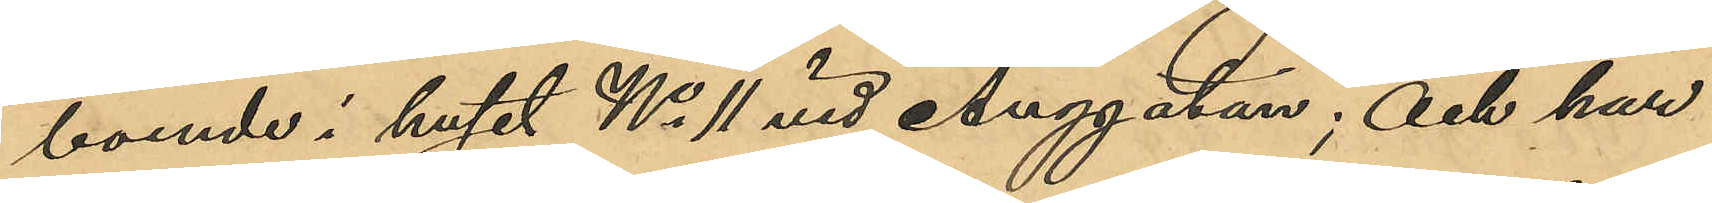boende i huset No 11 vid Änggatan; och har
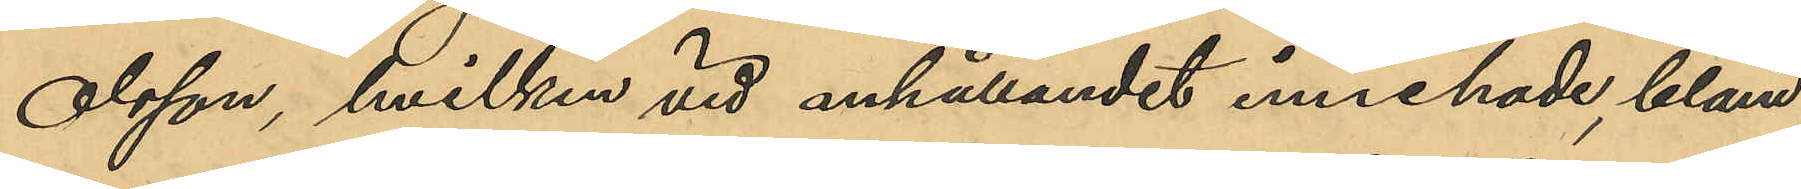Olsson, hvilken vid anhållandet innehade, bland
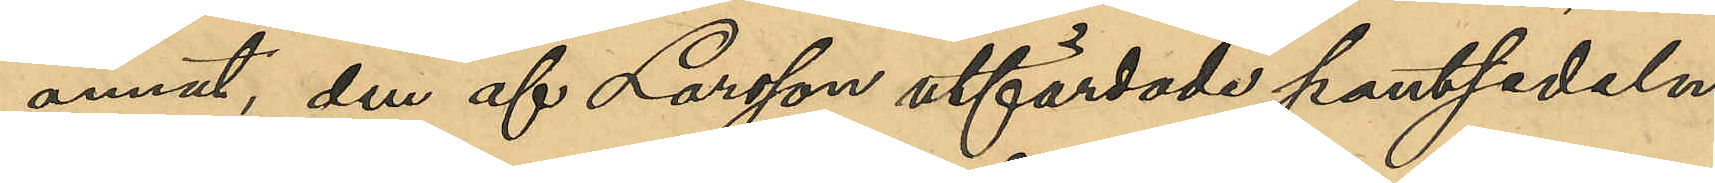annat, den af Larsson utfärdade pantsedeln
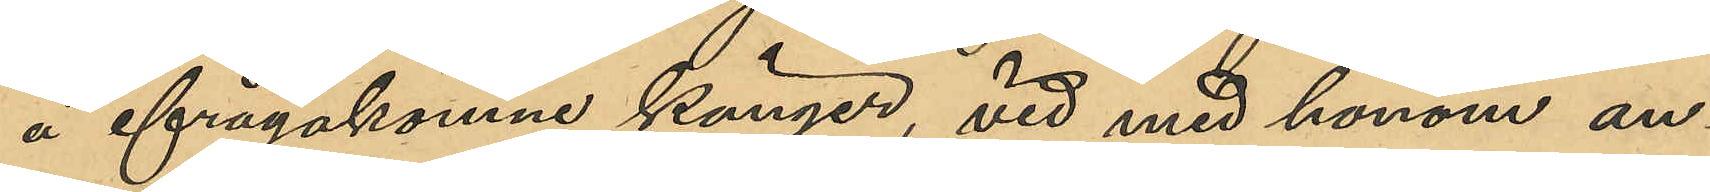å ifrågakomne känger, vid med honom an¬
